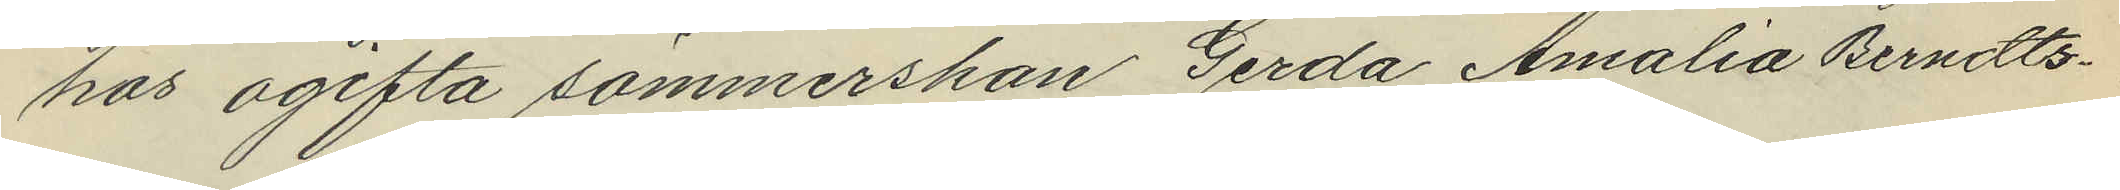hos ogifta sömmerskan Gerda Amalia Berndts¬
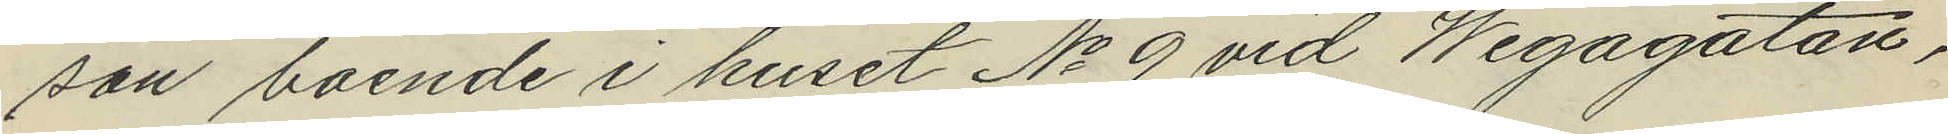son boende i huset No 9 vid Wegagatan,
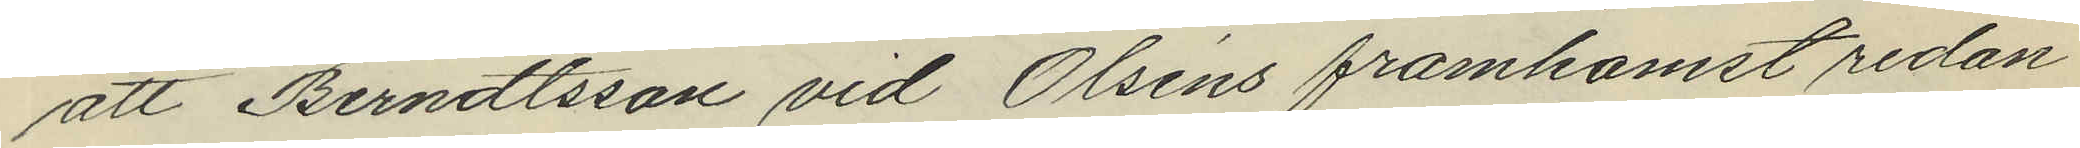att Berndtsson vid Olséns framkomst redan
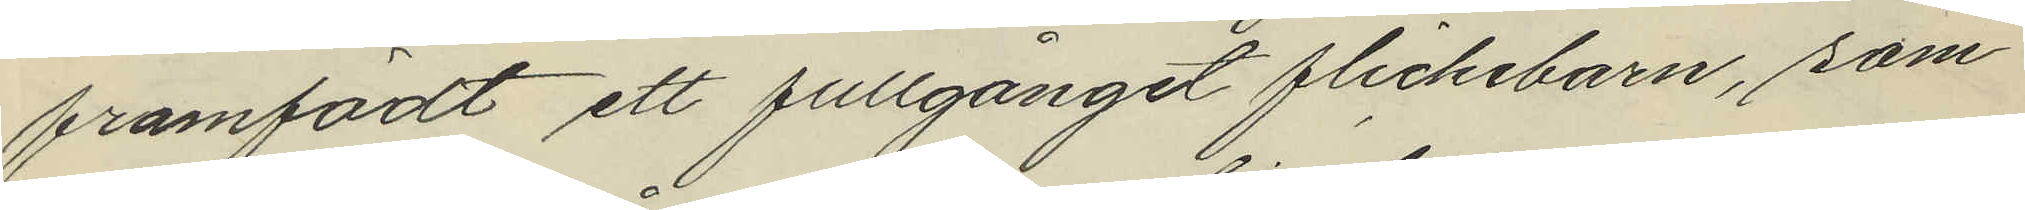framfödt ett fullgånget flickebarn, som
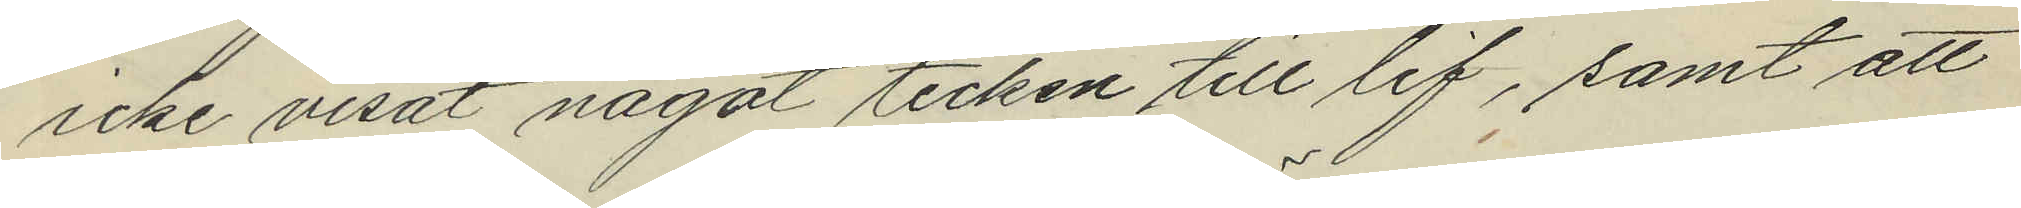icke visat något tecken till lif, samt att
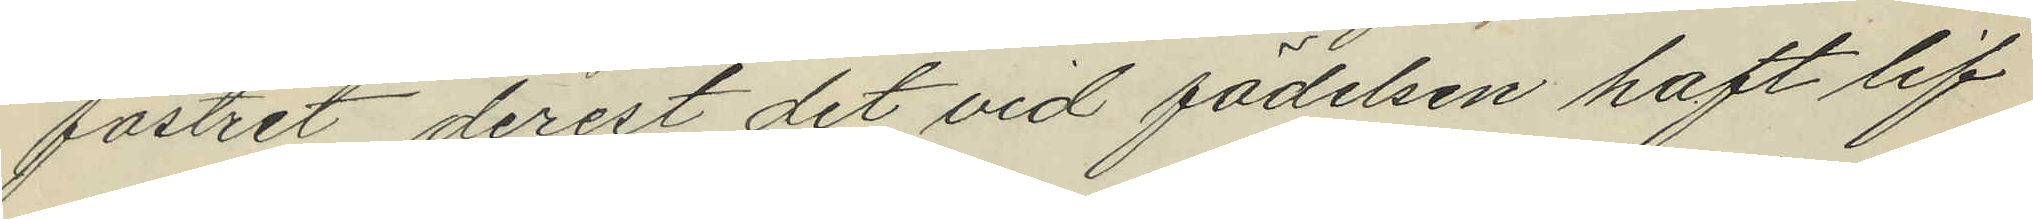fostret, derest det vid födelsen haft lif
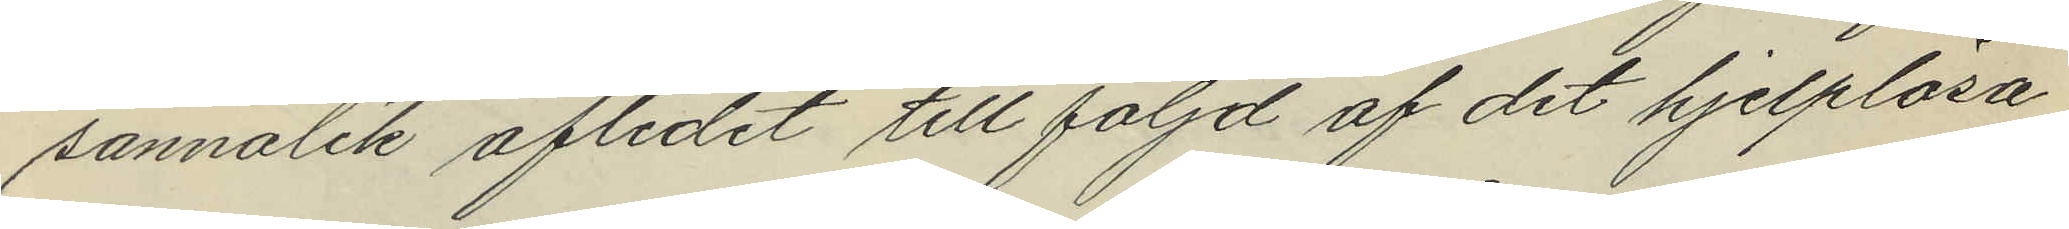sannolik aflidit till följd af det hjelplösa
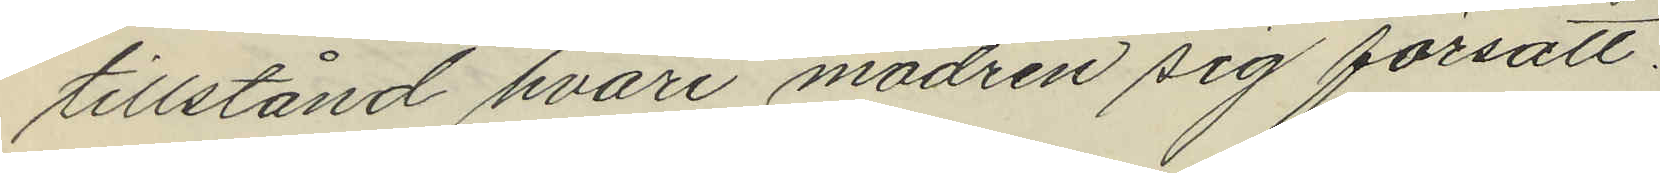tillstånd hvari modren sig försatt.
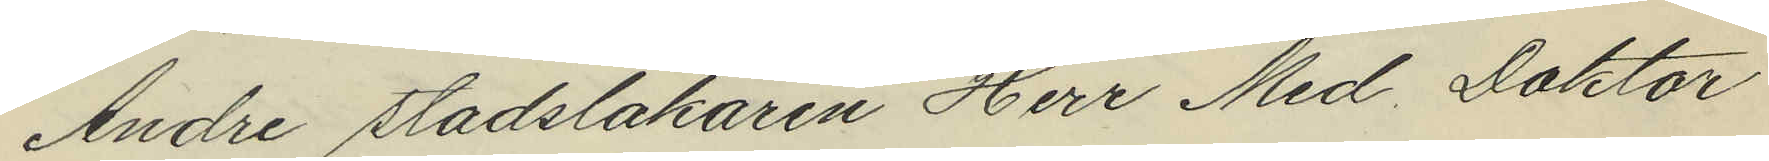Andre Stadsläkaren Herr Med. Doktor
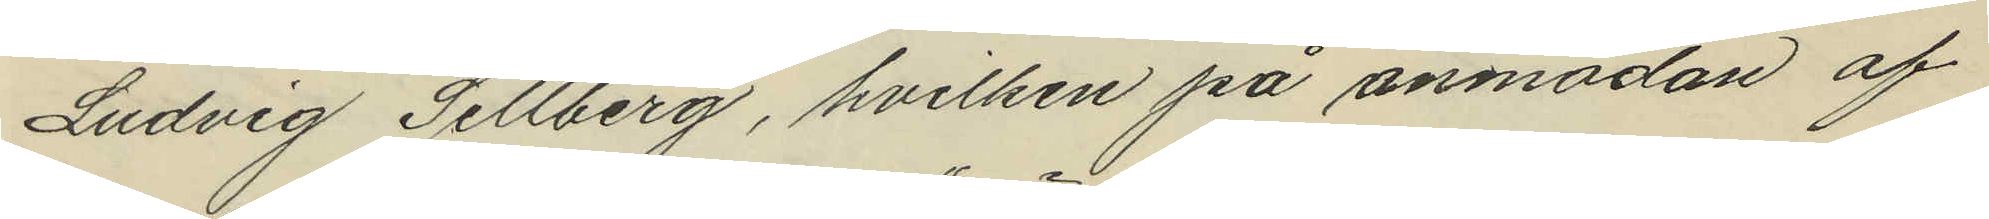Ludvig Sellberg, hvilken på anmodan af
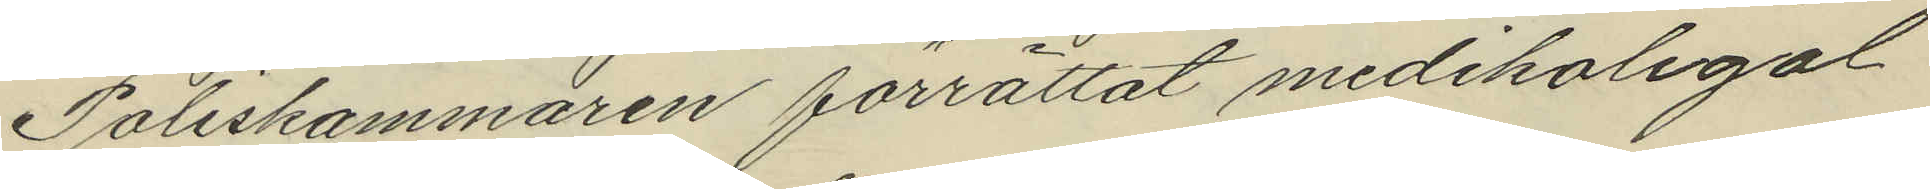Poliskammaren förrättat medikolegal
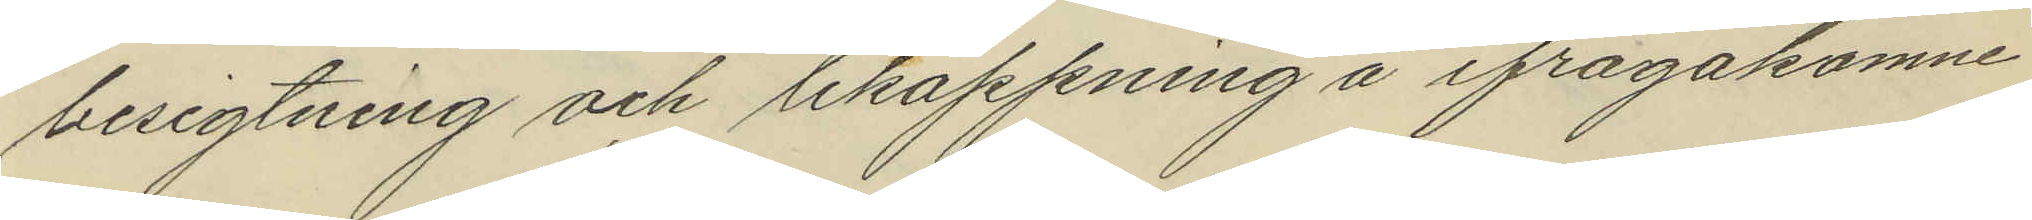besigtning och liköppning å ifrågakomne
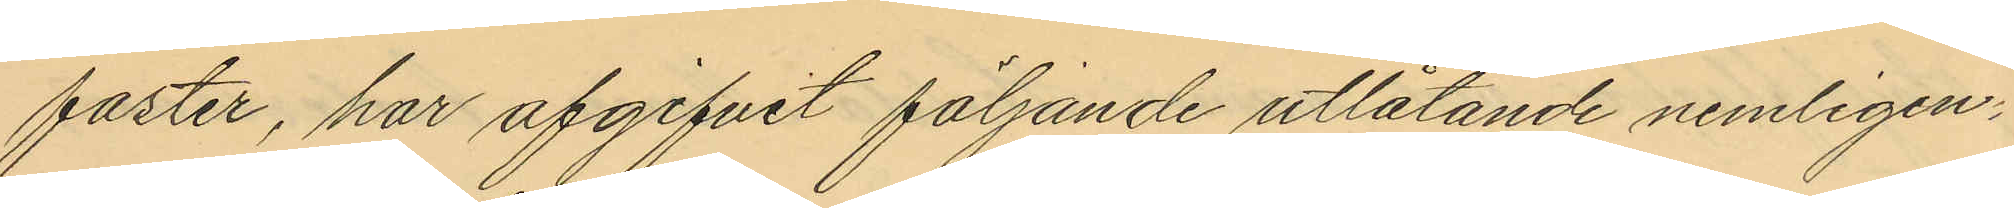foster, har afgifvit följande utlåtande nemligen:
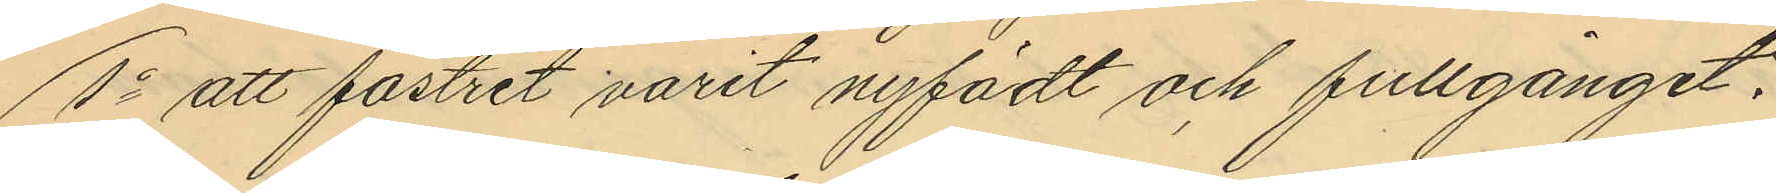1o att fostret varit nyfödt och fullgånget.
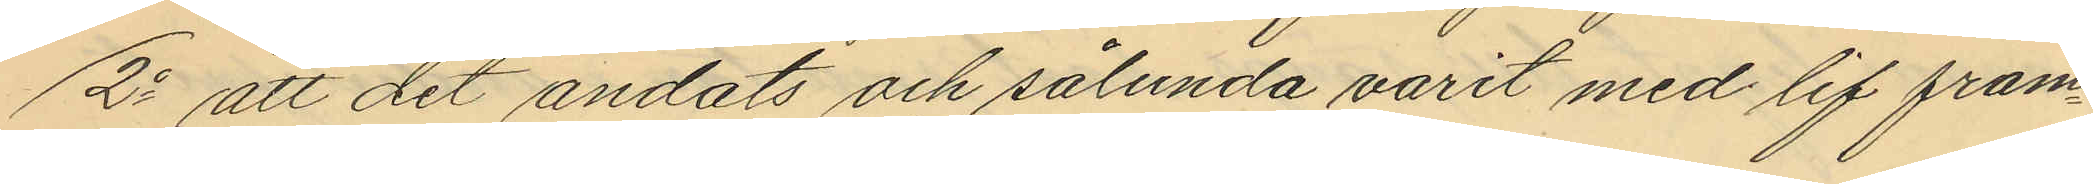2o att det ändats och sålunda varit med lif fram¬
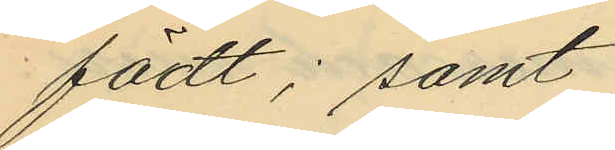födt; samt
